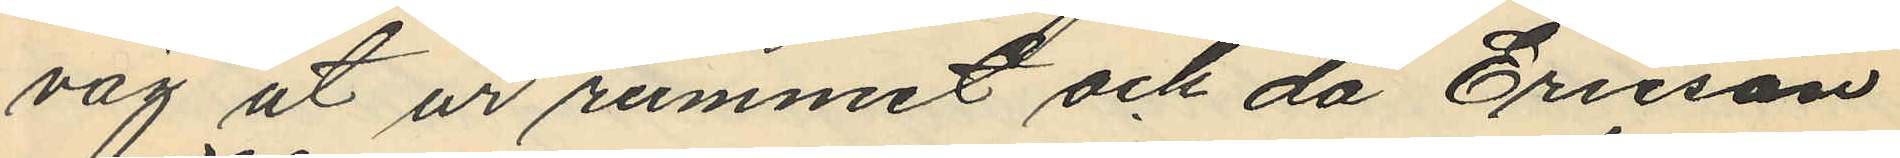väg ut ur rummet och då Ericson
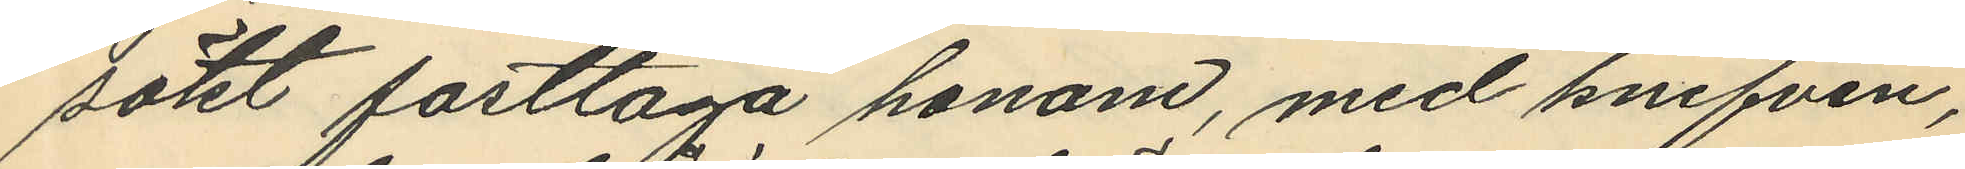sökt fasttaga honom, med knifven,
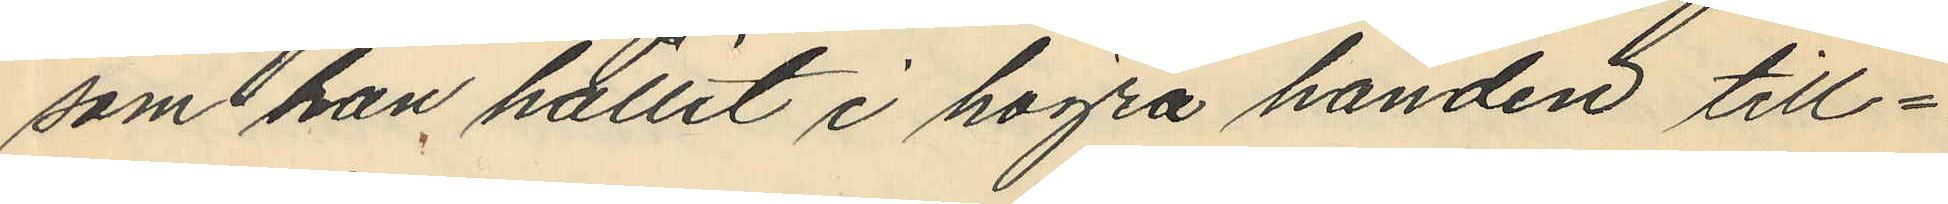som han hållit i högra handen till¬
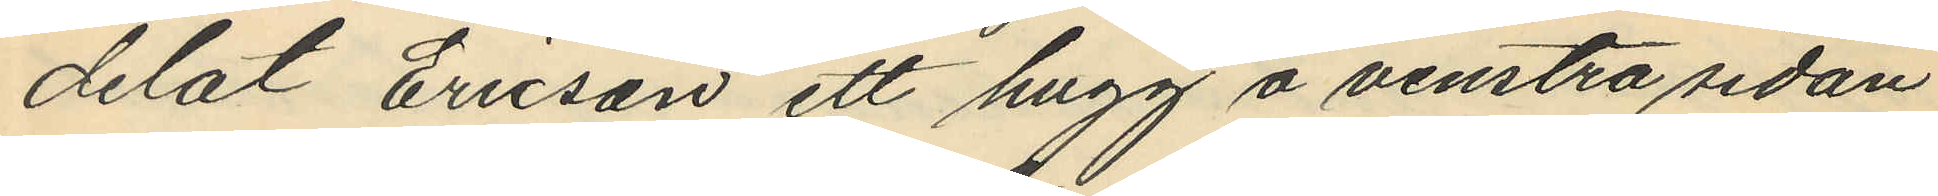delat Ericson ett hugg å venstra sedan
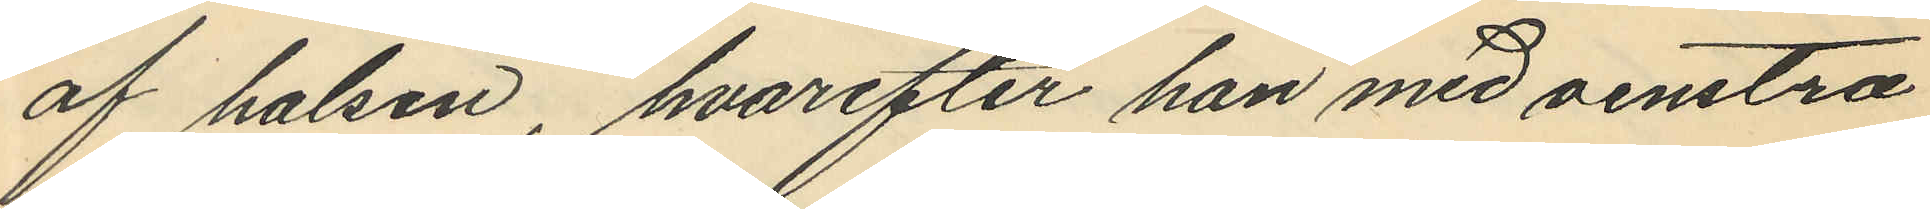af halsen, hvarefter han med venstra
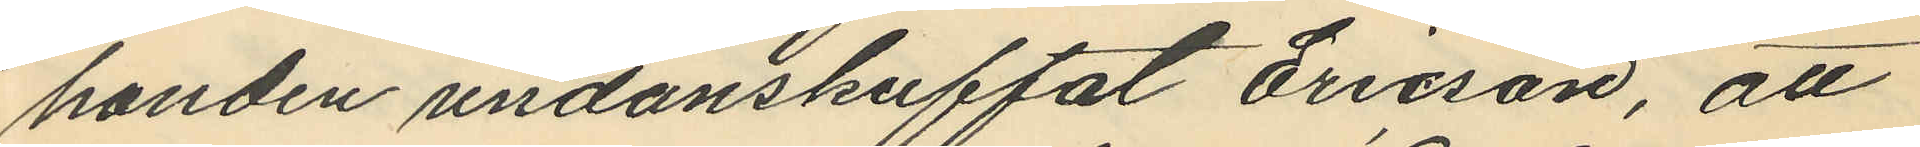handen undanskuffat Ericson, att
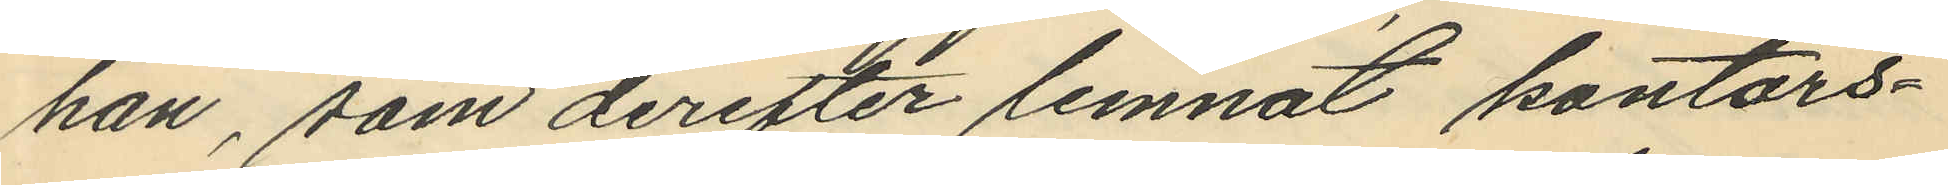han, som derefter lemnat kontors¬
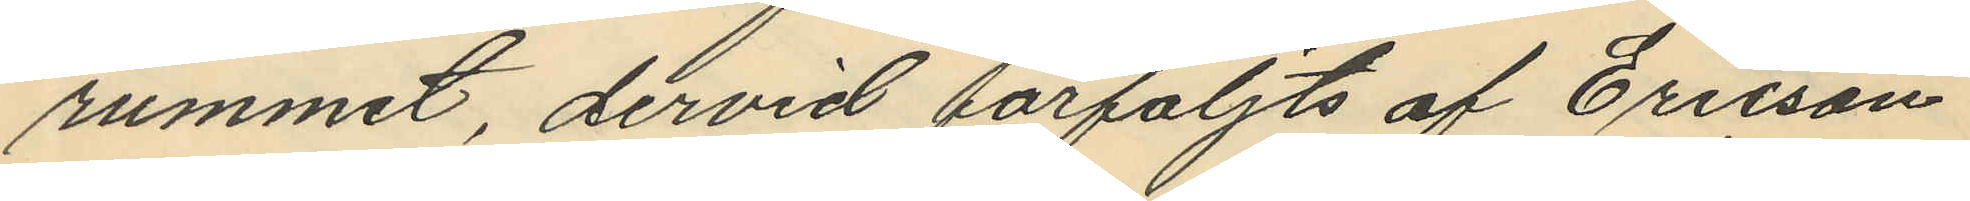rummet, dervid förföljts af Ericson
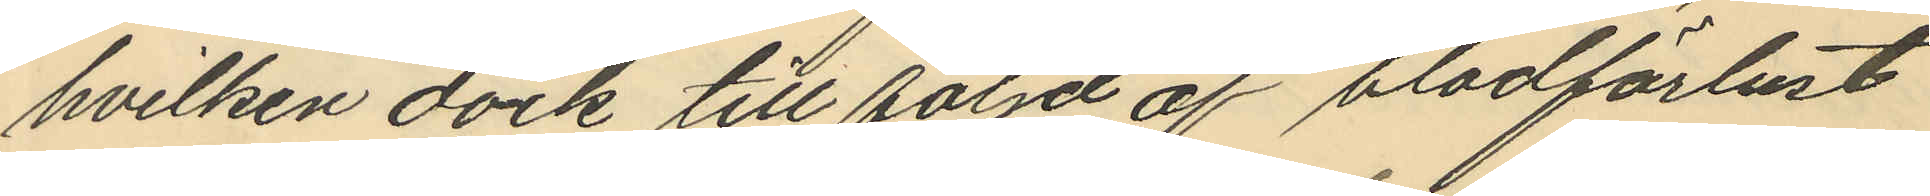hvilken dock till följd af bladförlust
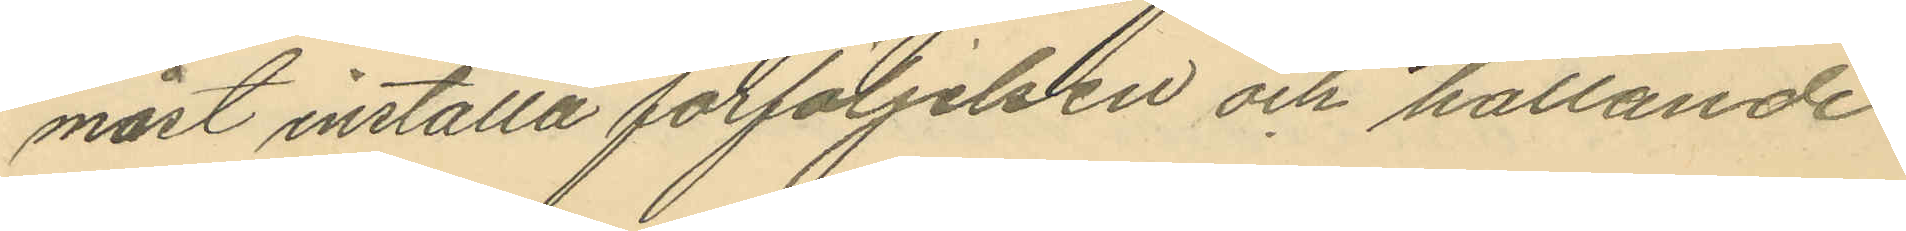måst inställa förföljelsen och hållande
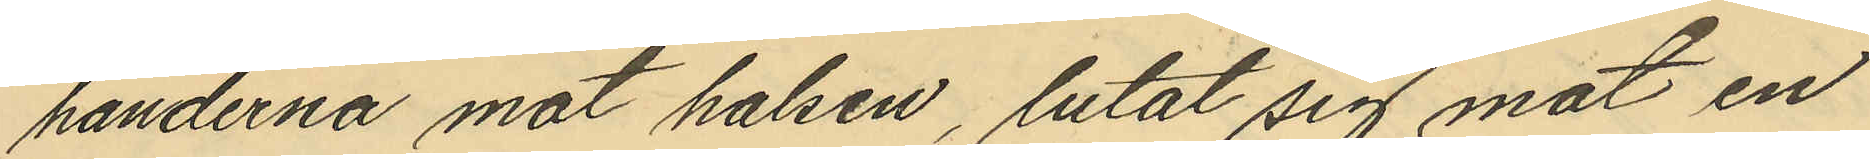händerna mot halsen, lutat sig mot en
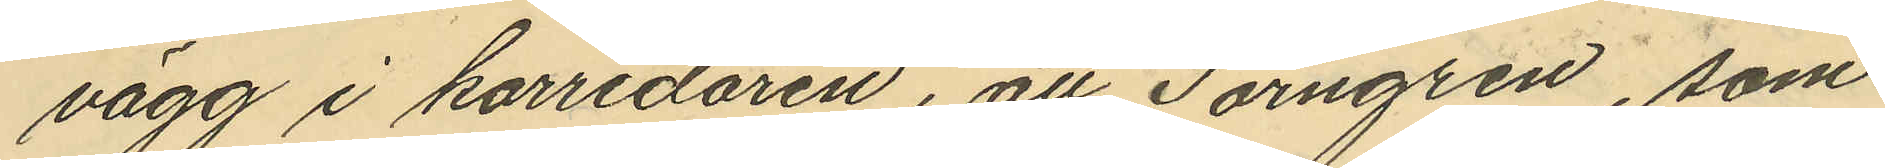vägg i korridören, att Törngren, som
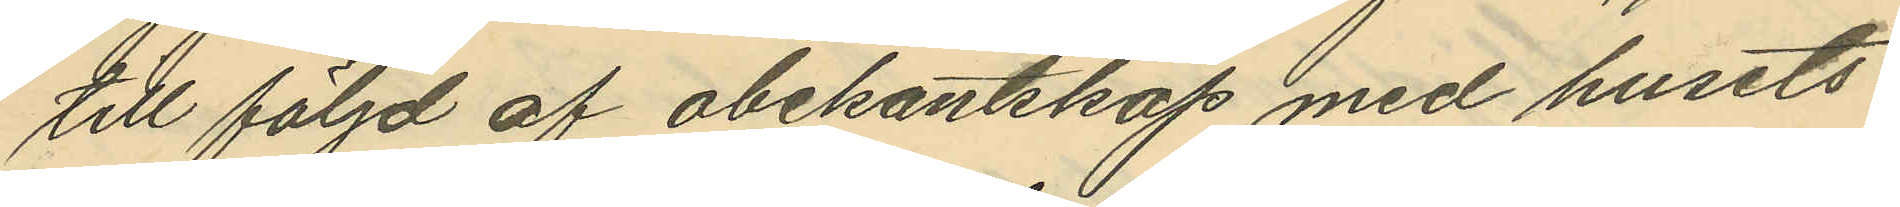till följd af obekantskap med husets
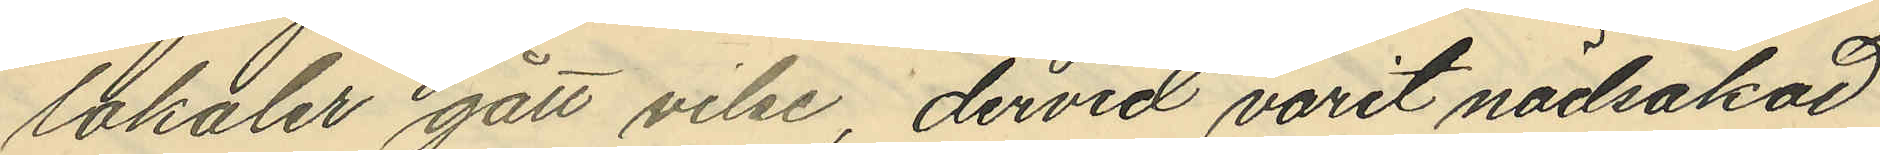lokaler gått vilse, dervid varit nödsakad
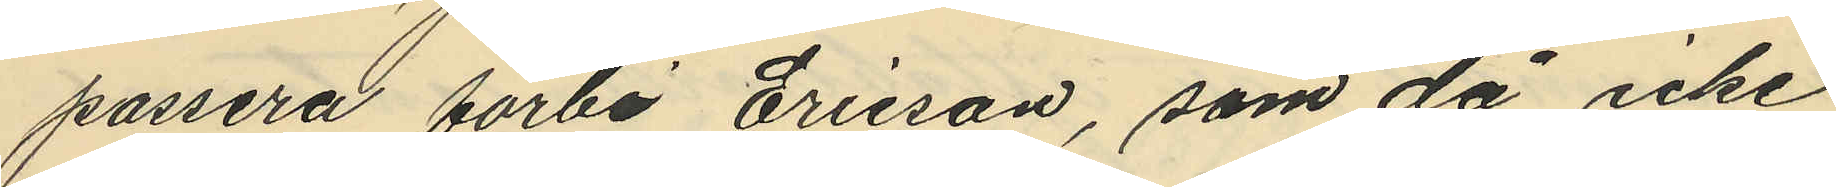passera förbi Ericson, som då icke
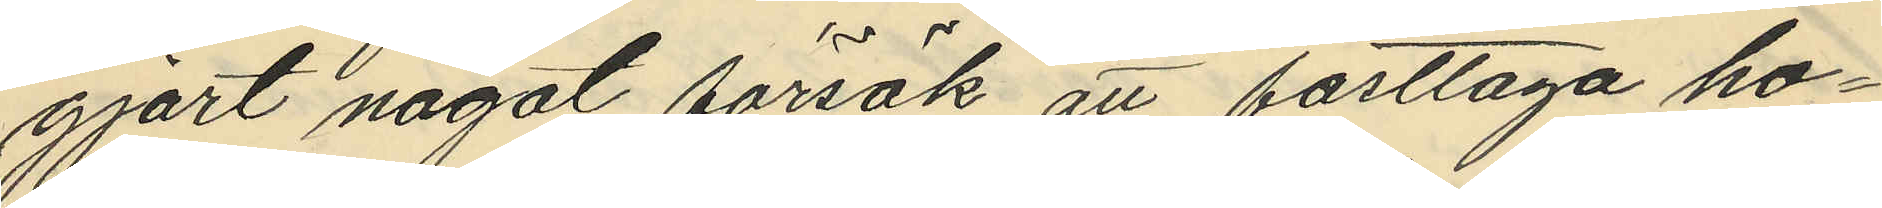gjort något försök att fasttaga ho¬
